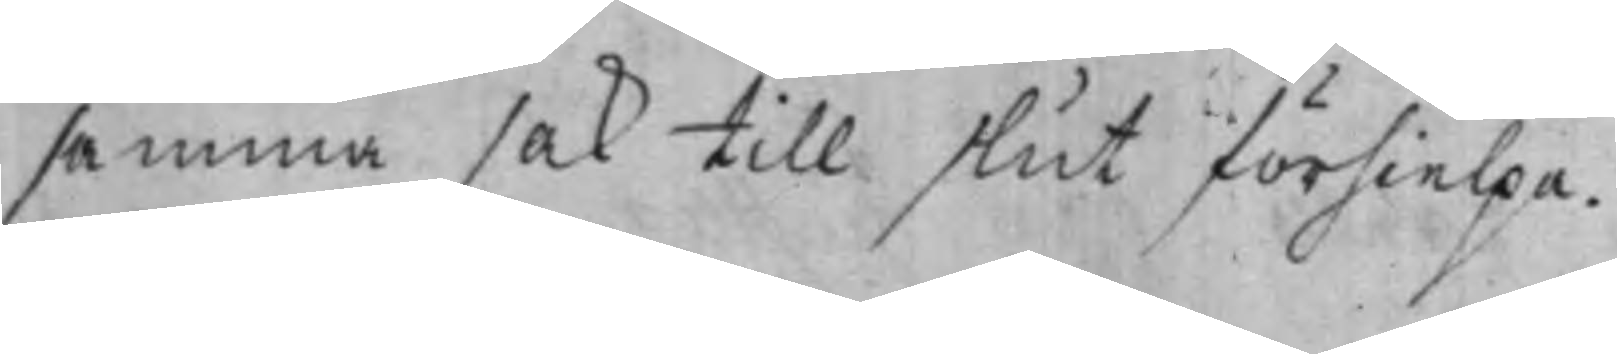samma sak till slut förhielpa.
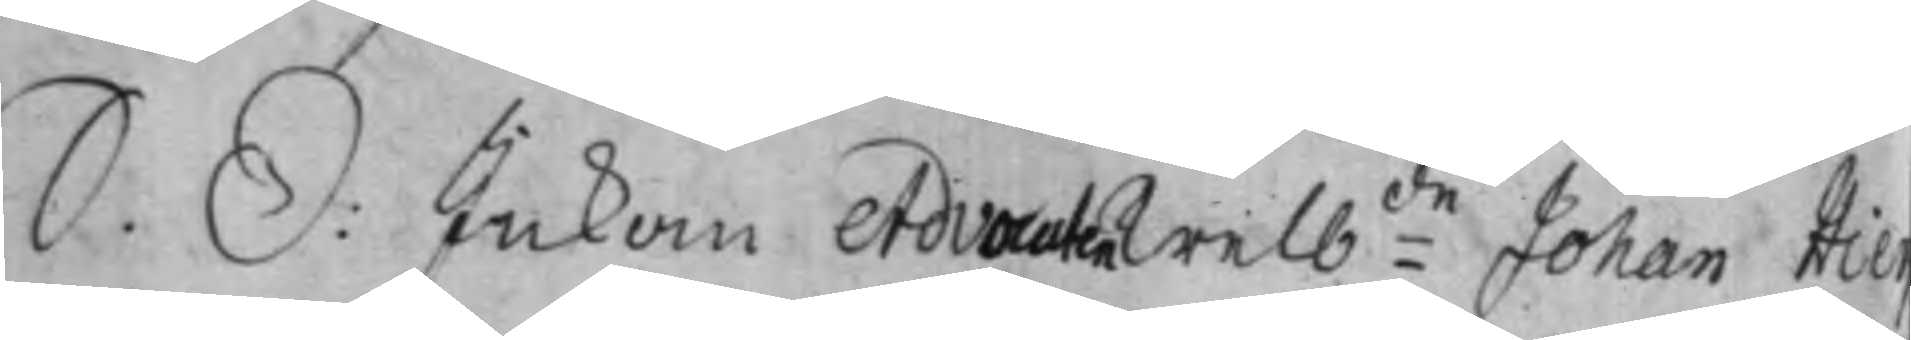S. D: Inkom Advocaten Welb:de Johan Hie
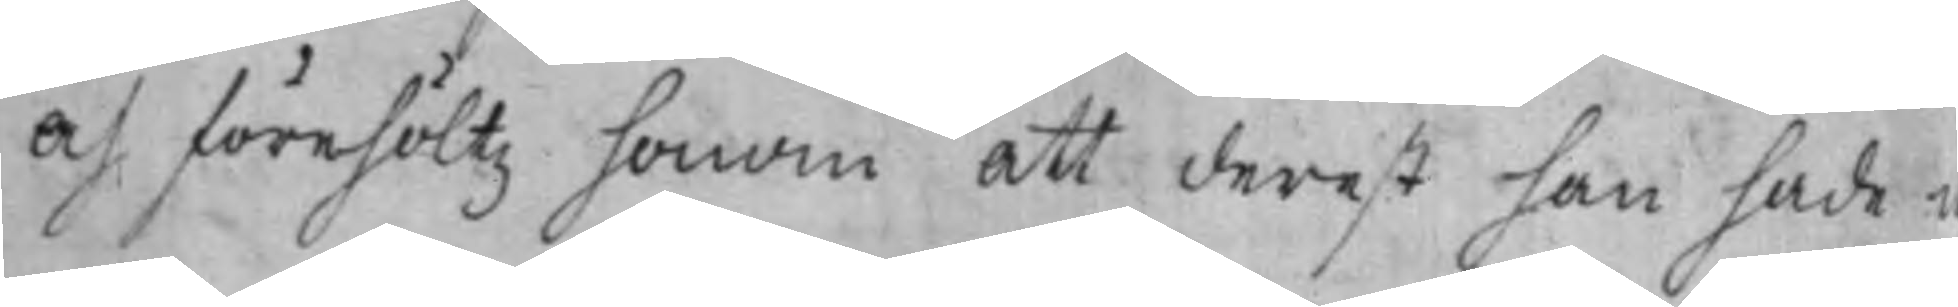och förehöltz honom att derest han hade n¬
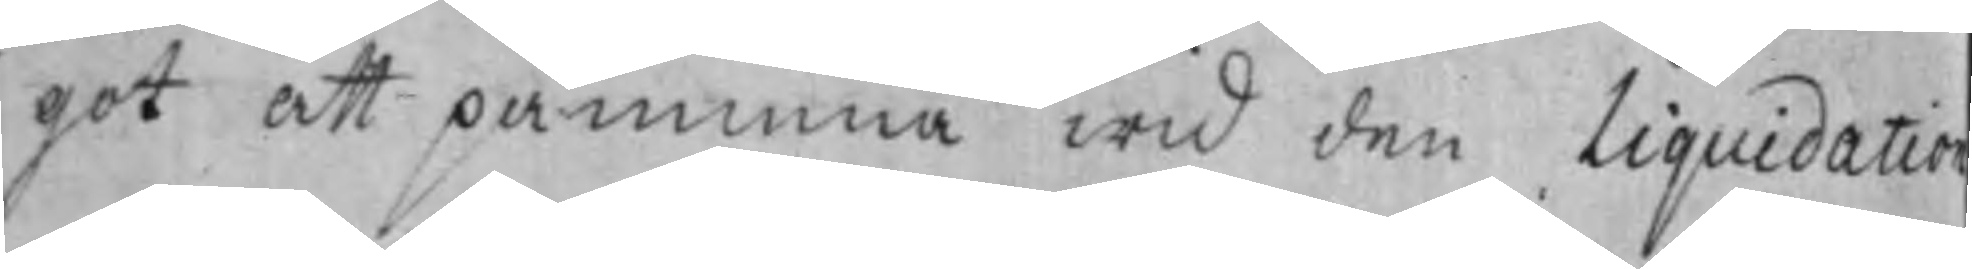got att påminna wid den Liquidation
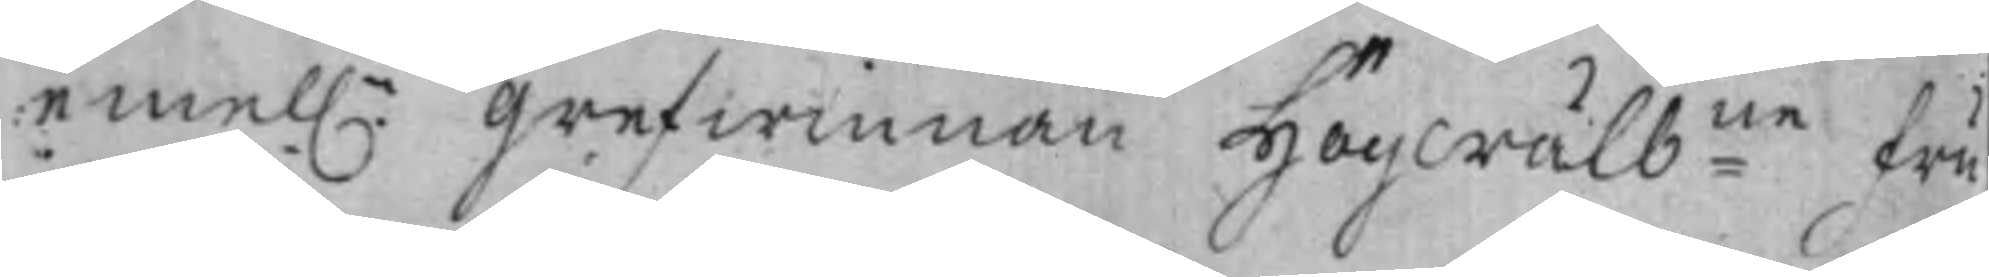emel:n Grefwinnan Högwälb:ne Fru
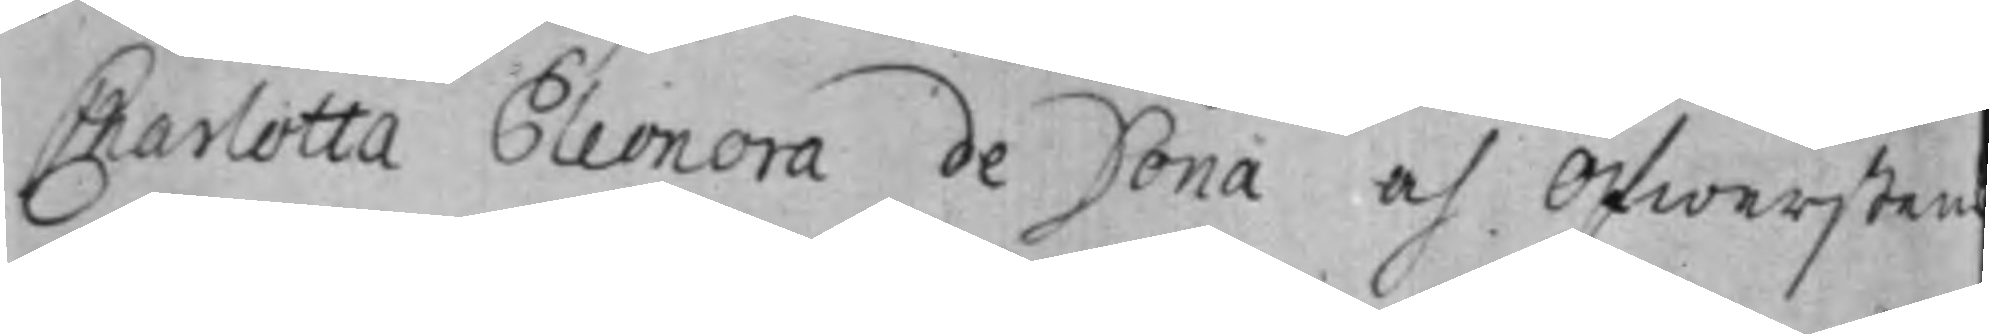Charlotta Eleonora de Dona af Öfwersten
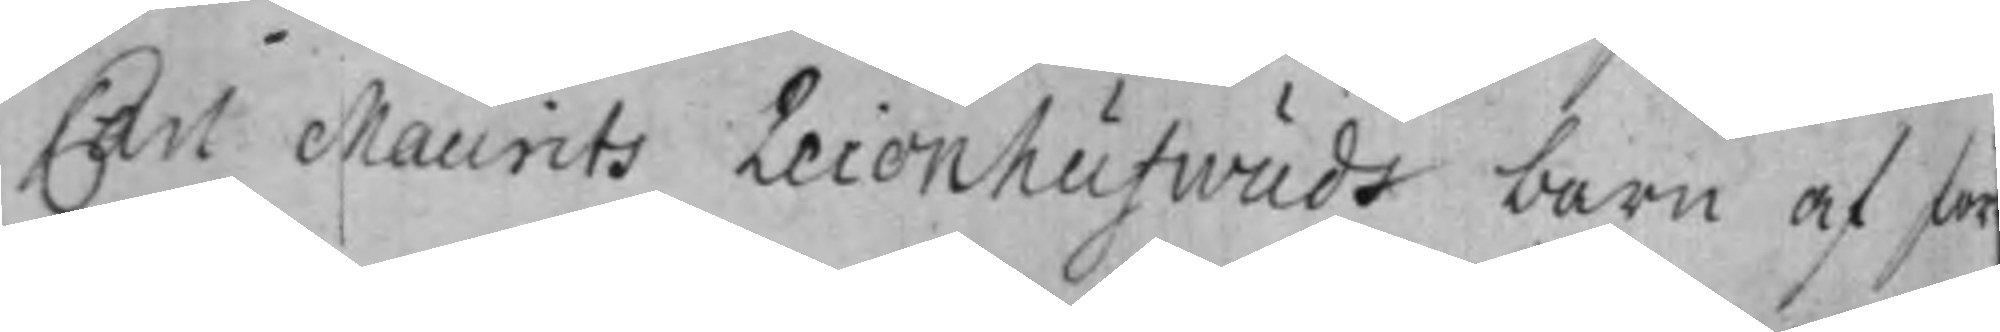Carl Maurits Leionhufwuds barn af för
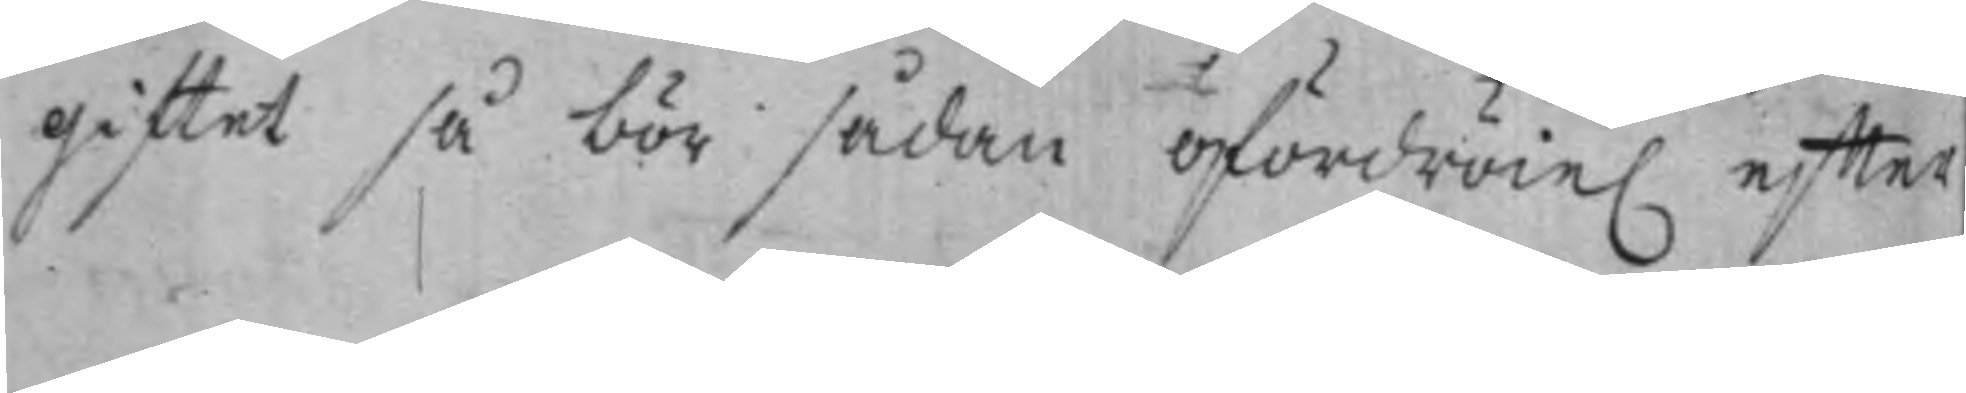giftet så bör sådan ofördröie. effter
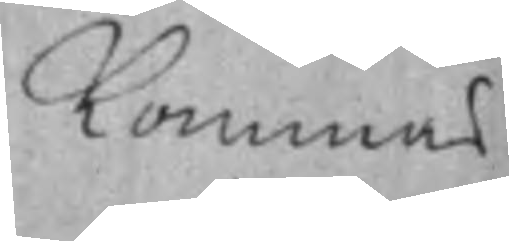kommas
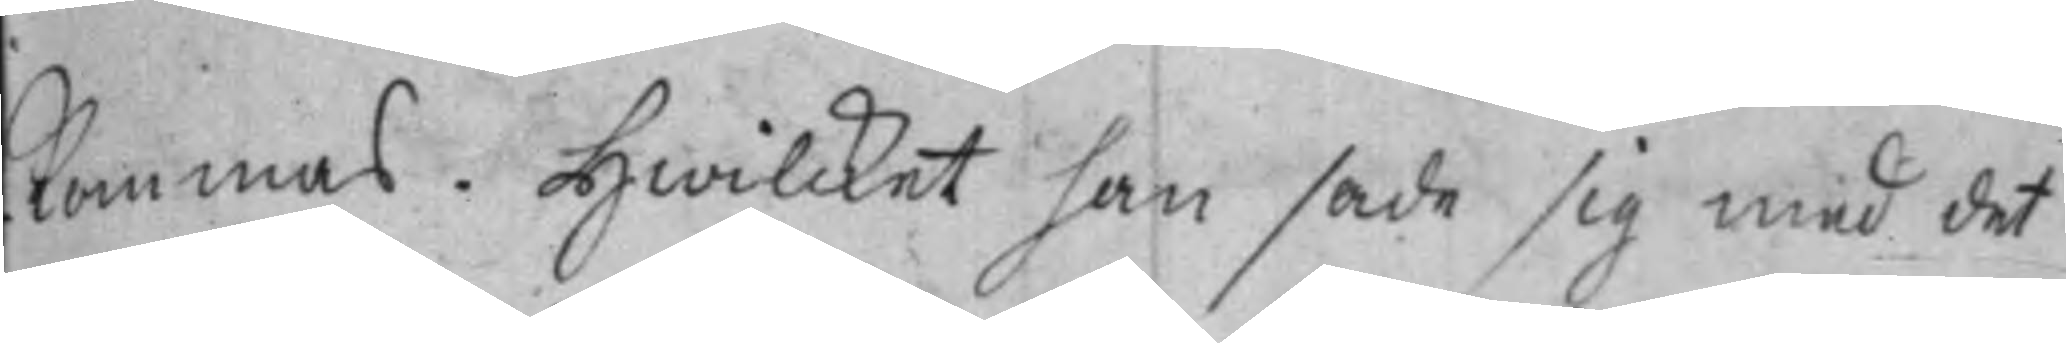kommas. Hwilcket han sade sig med det
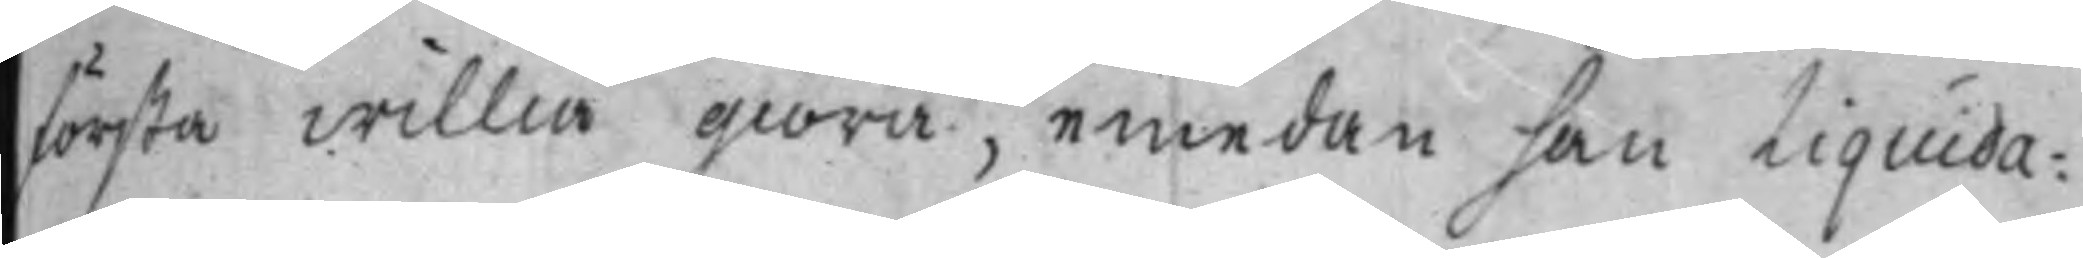första willia giöra, emedan han Liquida¬
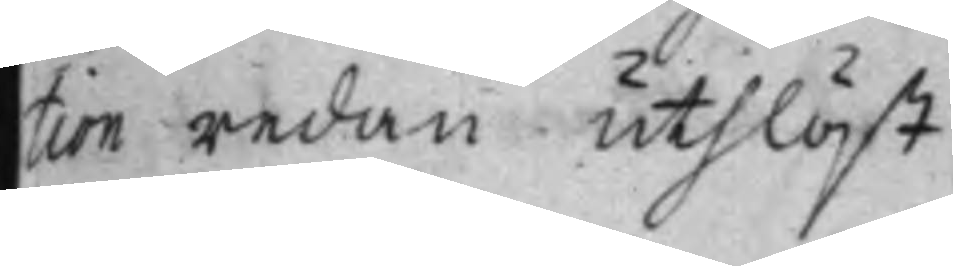tion redan uthlöst.
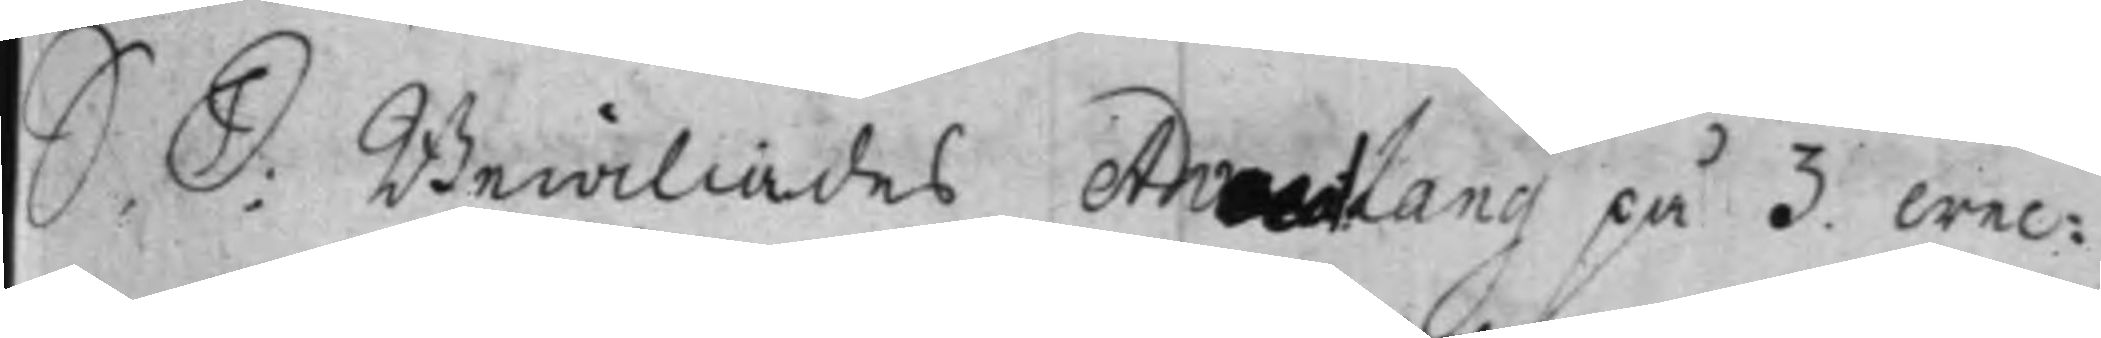S. D: Bewiliades Advocat Lang på 3 wec¬
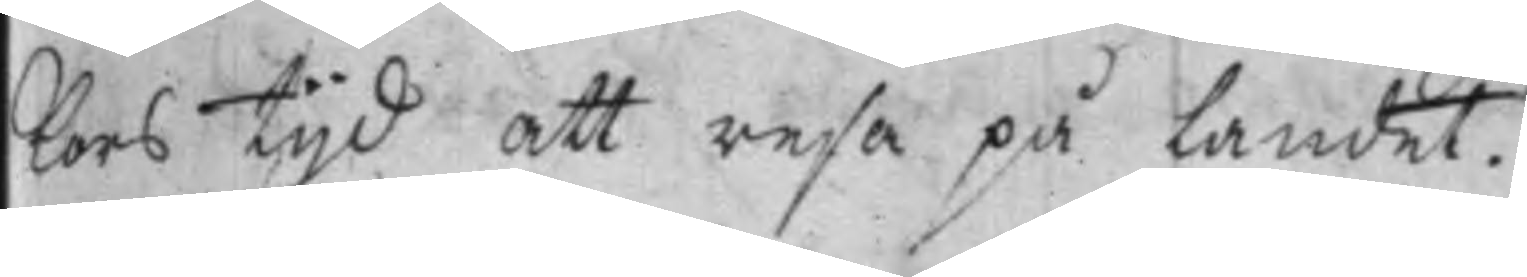kors tijd att resa på Landet.
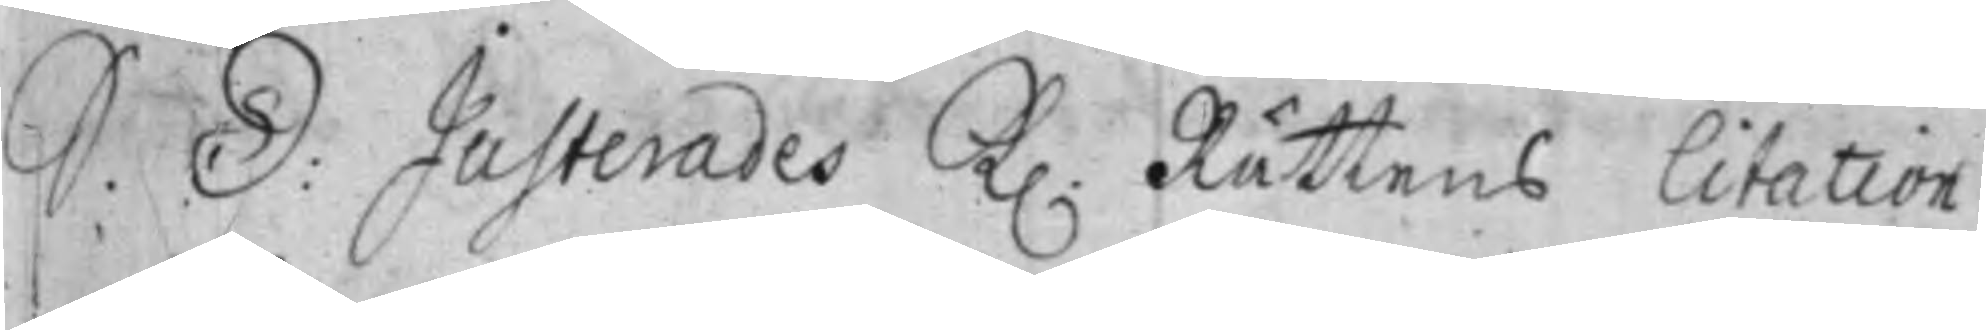S. D: Justerades K. Rättens Citation
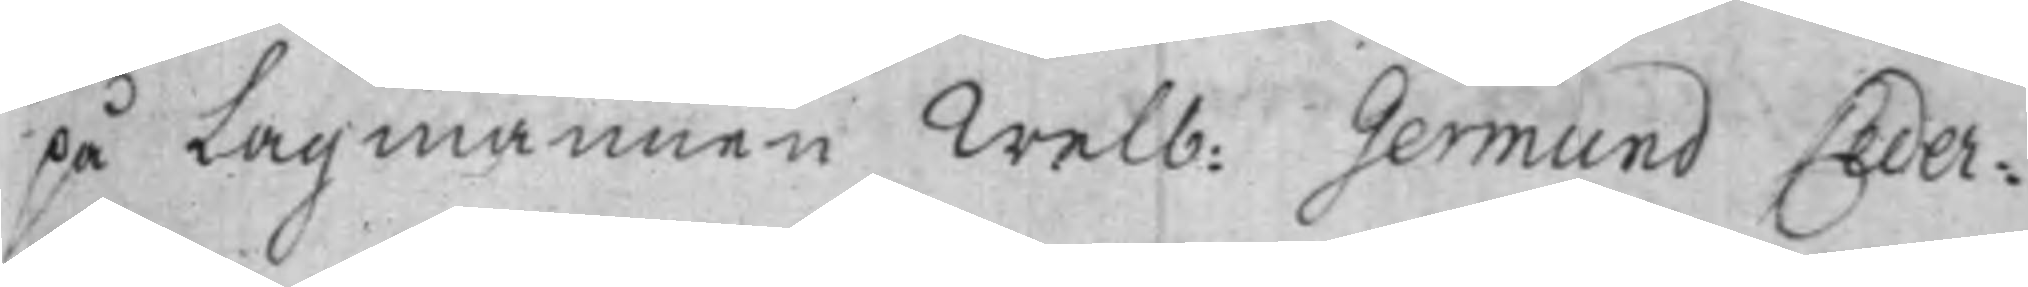på Lagmannen Welb: Germund Ceder¬
